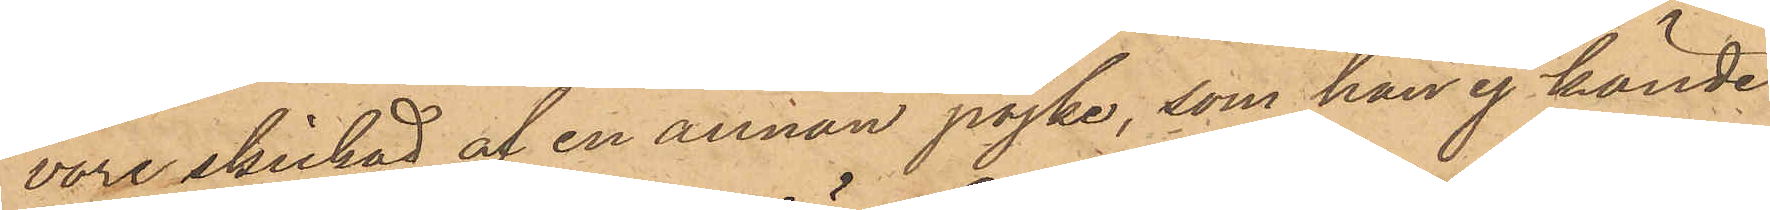vore skickad af en annan pojke, som han ej kände
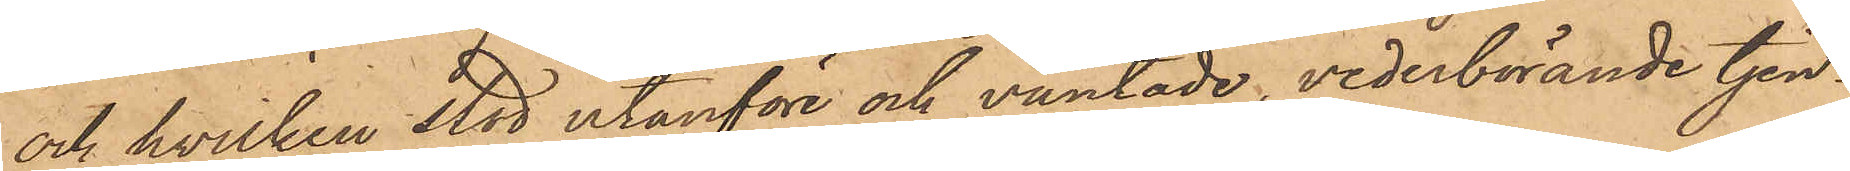och hvilken stod utanföre och väntade, vederbörande tjen¬
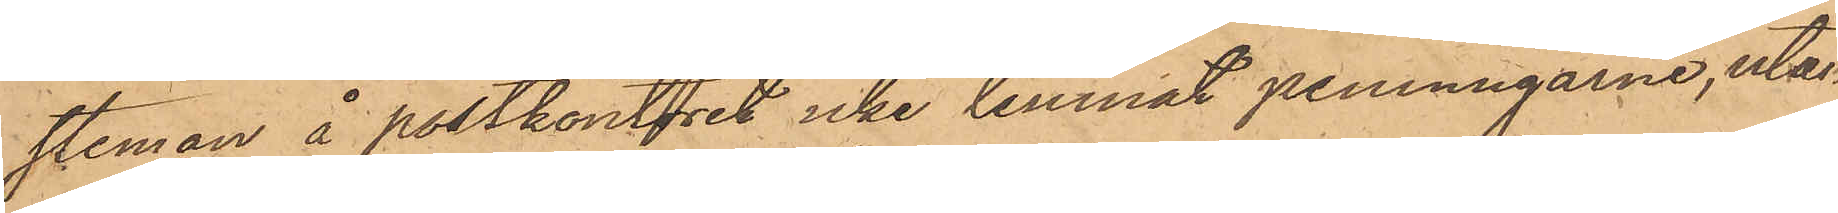steman å postkontoret icke lemnat penningarne, utan
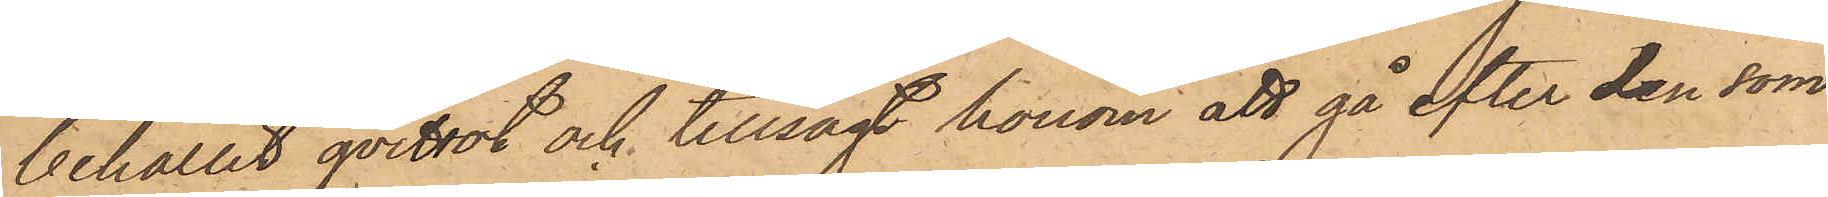behållit qvittot och tillsagt honom att gå efter den som
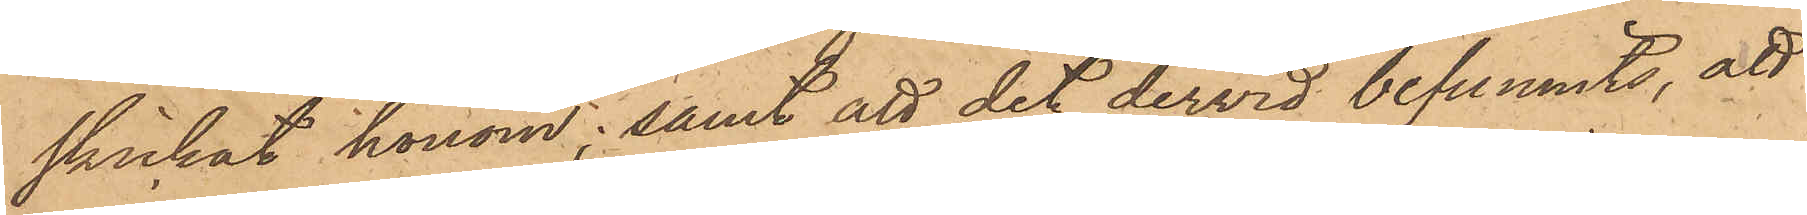skickat honom; samt att det dervid befunnits, att
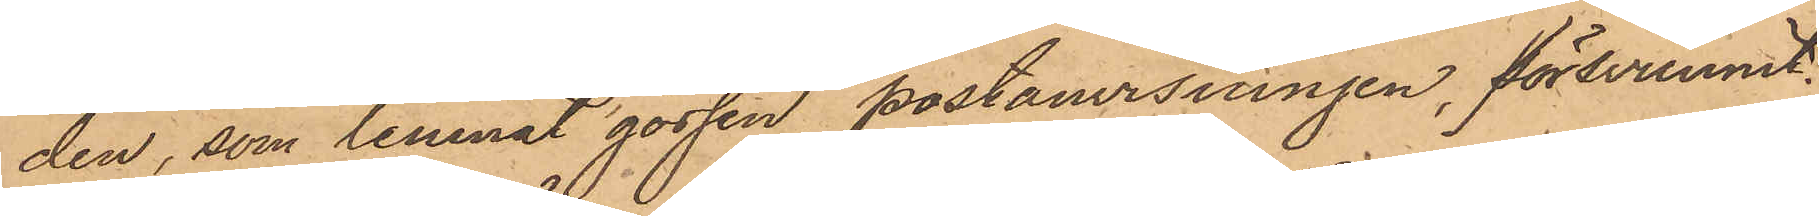den, som lemnat gossen postanvisningen, försvunnit.
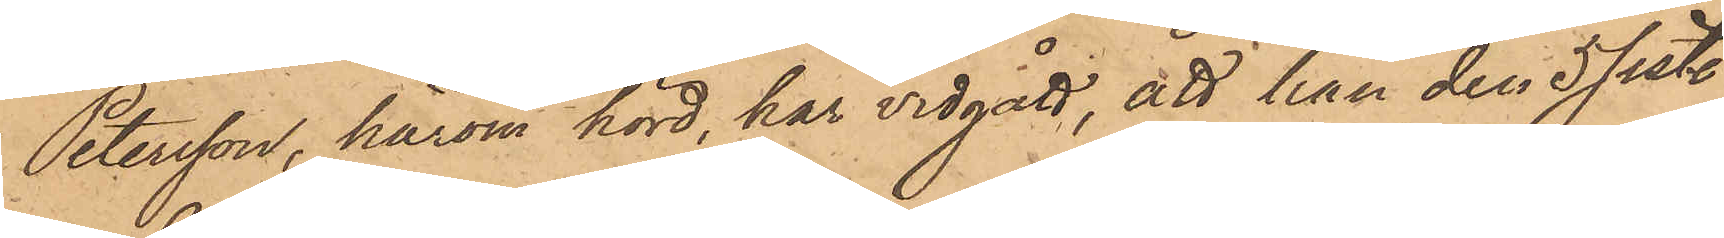Petersson, härom hörd, har vidgått, att han den 5 sist.
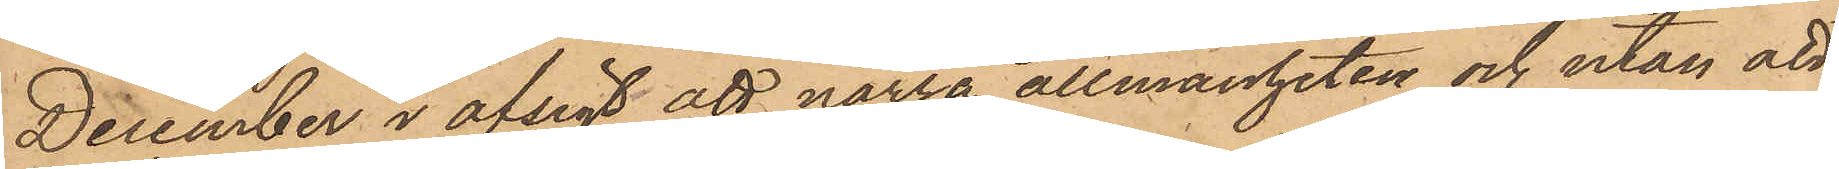December i afsigt att narra allmänheten och utan att
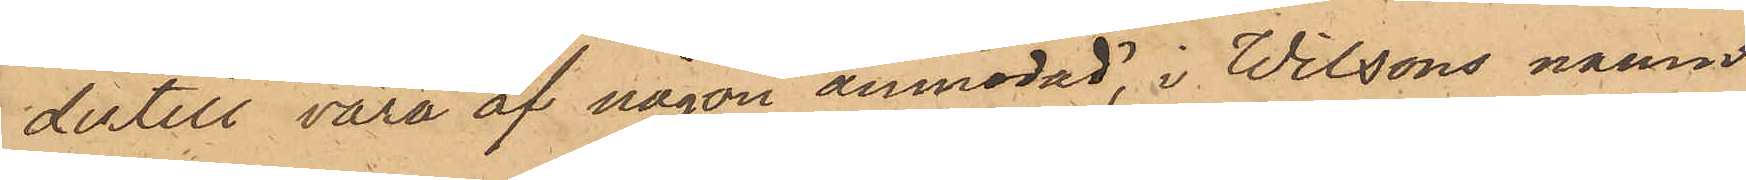dertill vara af någon anmodad, i Wilsons namn
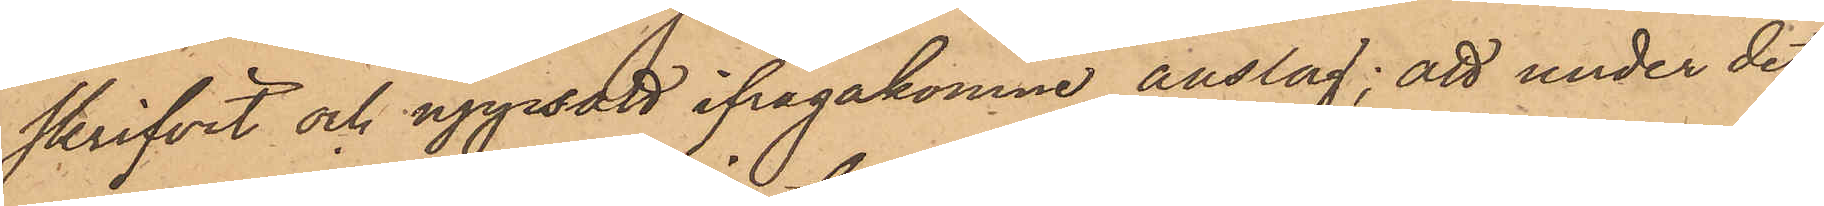skrifvit och uppsatt ifrågakomne anslag; att under det
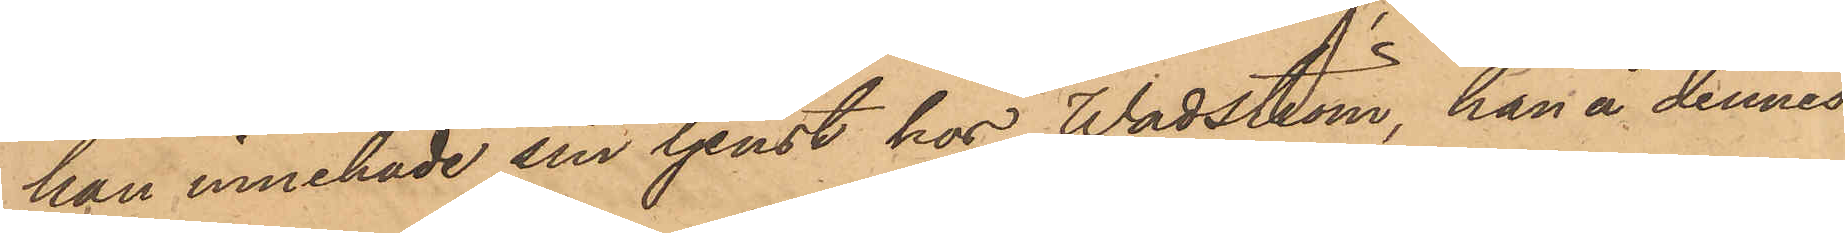han innehade sin tjenst hos Wadström, han å dennes
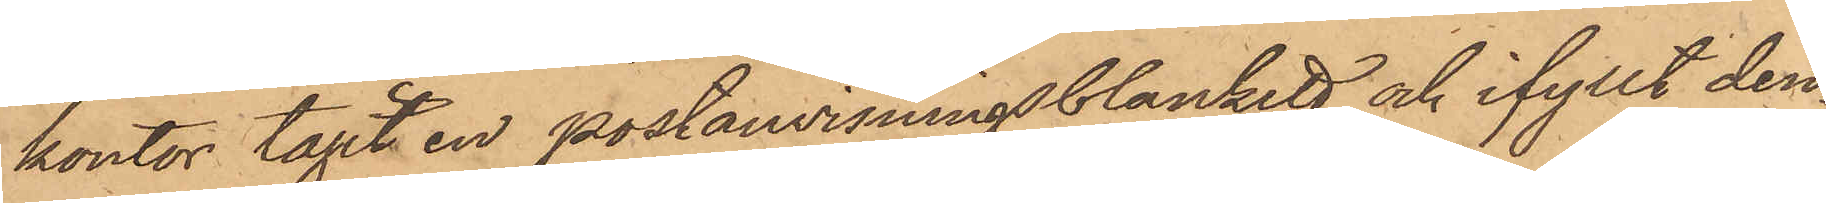kontor tagit en postanvisningsblankett och ifyllt den¬
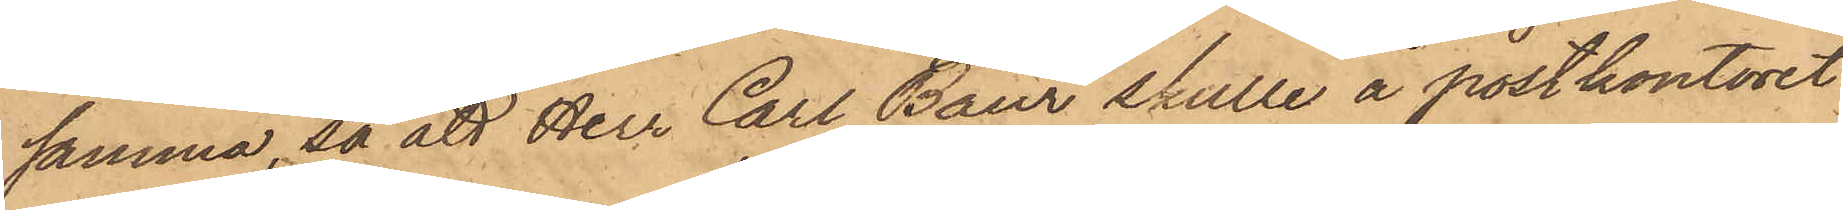samma, så att Herr Carl Baur skulle å postkontoret
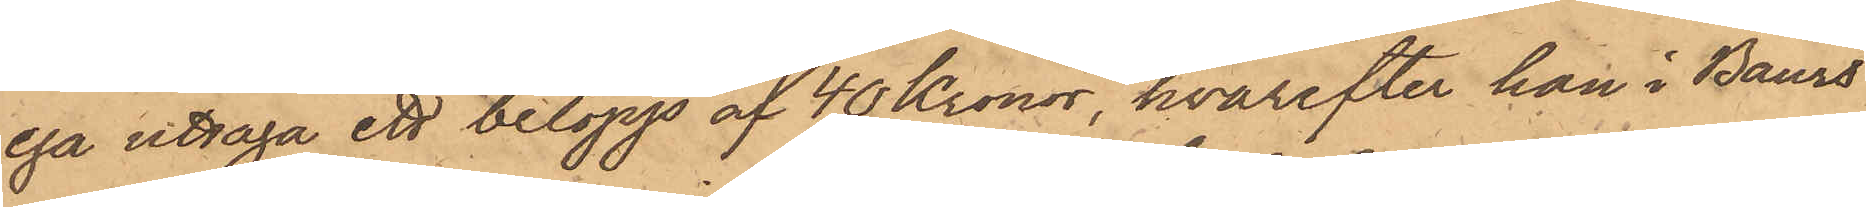ega uttaga ett belopp af 40 Kronor, hvarefter han i Baurs
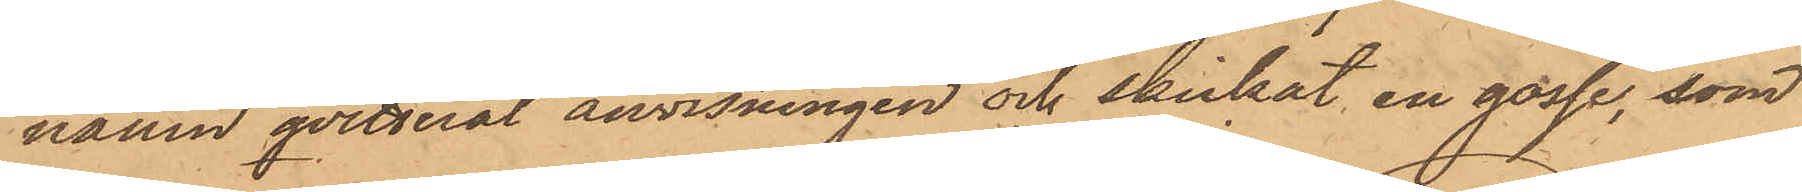namn qvitterat anvisningen och skickat en gosse, som
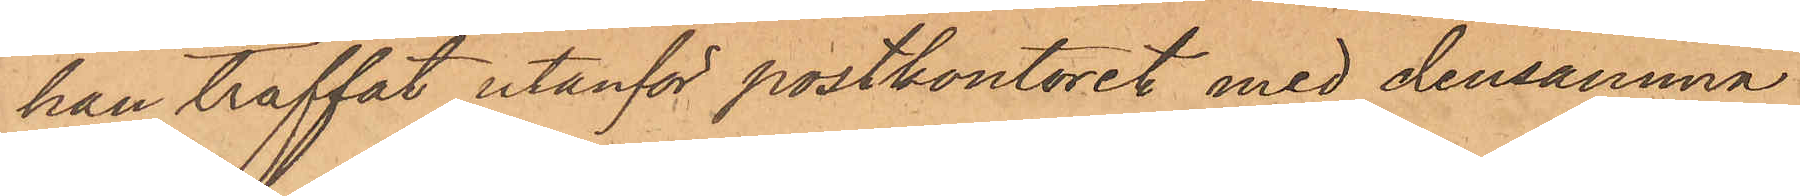han träffat utanför postkontoret med densamma
